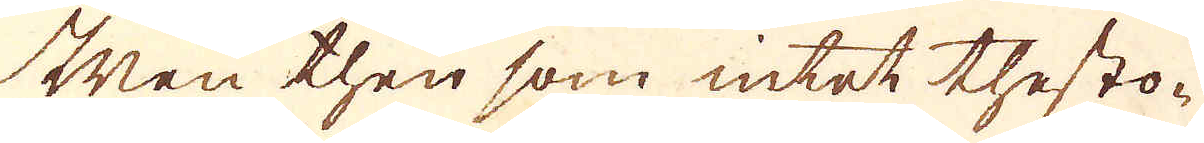Men then som intet thesto-
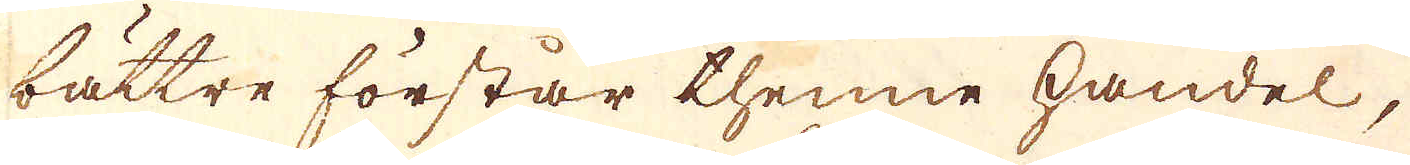bättre förstår thenne handel,
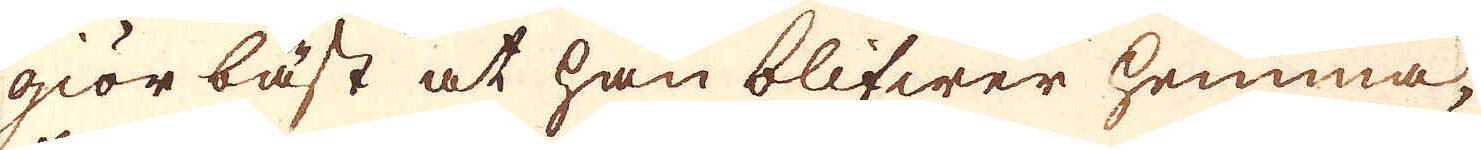giör bäst at han blifwer hemma,
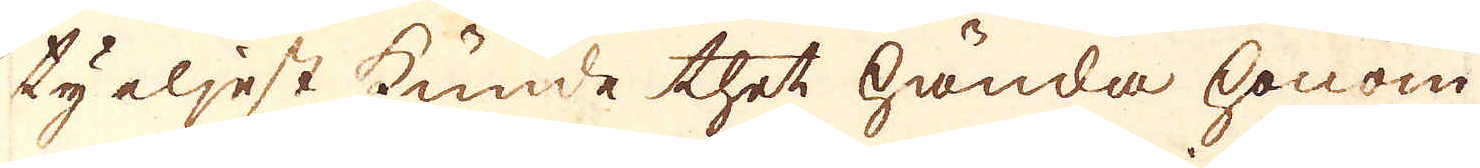ty eljest kunde thet hända honom
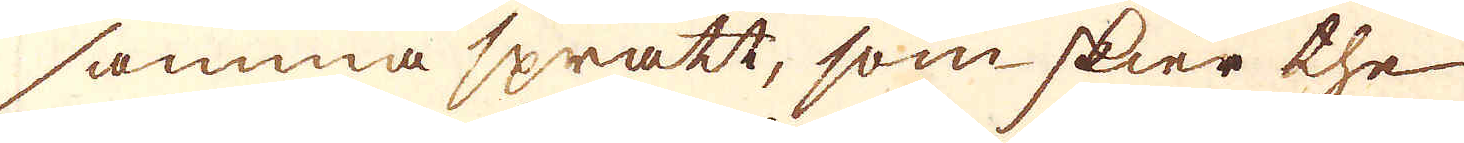samma spratt, som skier the
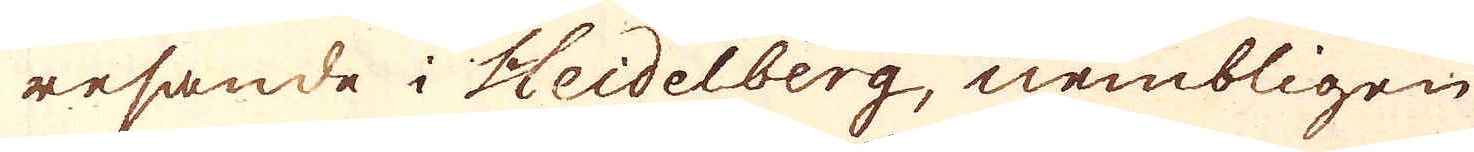resande i Heidelberg, nembligen
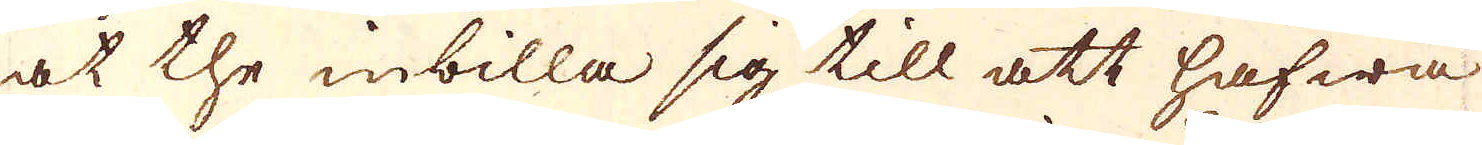at the inbilla sig till att hafwa
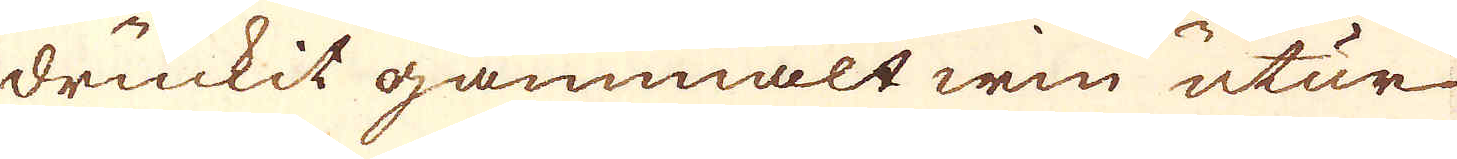druckit gammalt win utur
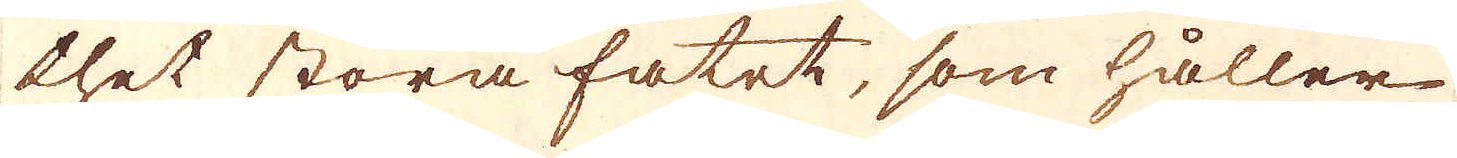thet stora fatet, som håller
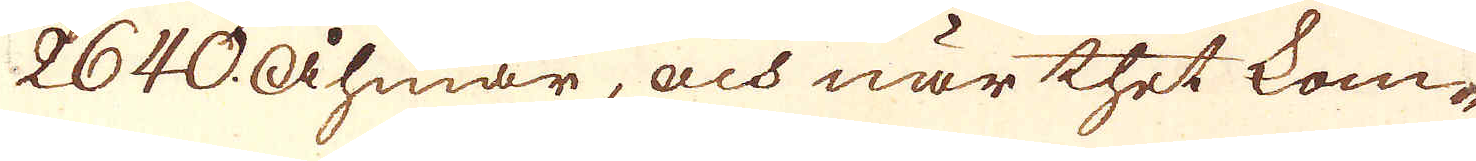2640 åhmar, och när thet kom-
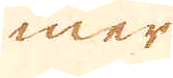mer
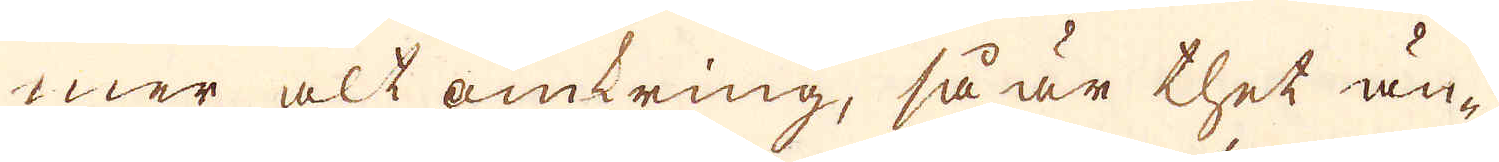mer alt omkring, så är thet än-
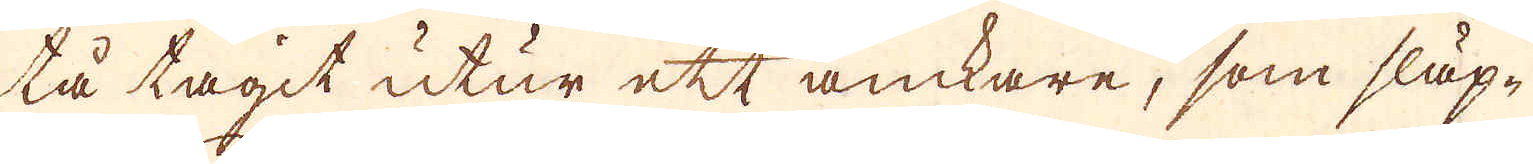tå tagit utur ett anckare, som släp-
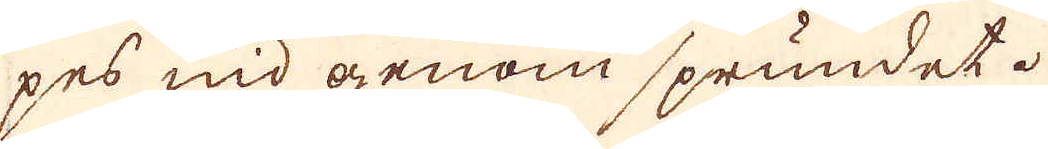pes ned genom sprundet.
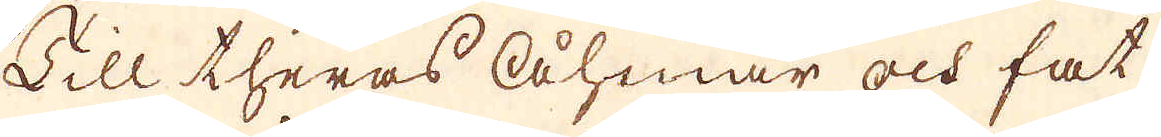Till theras Åhmar och fat
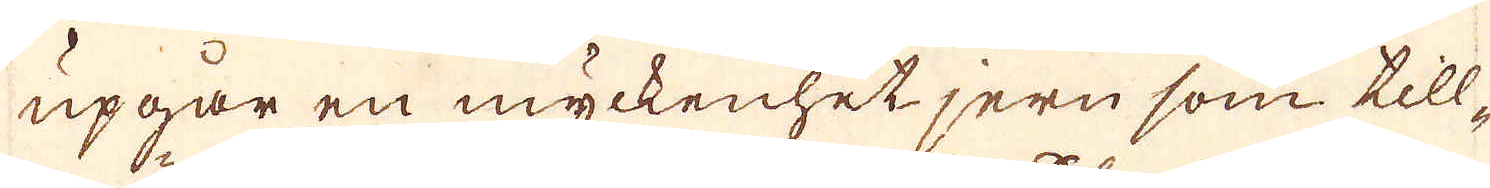upgår en myckenhet jern som till-
